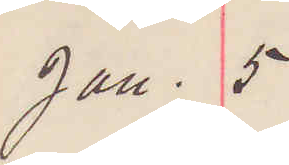Jan. 5
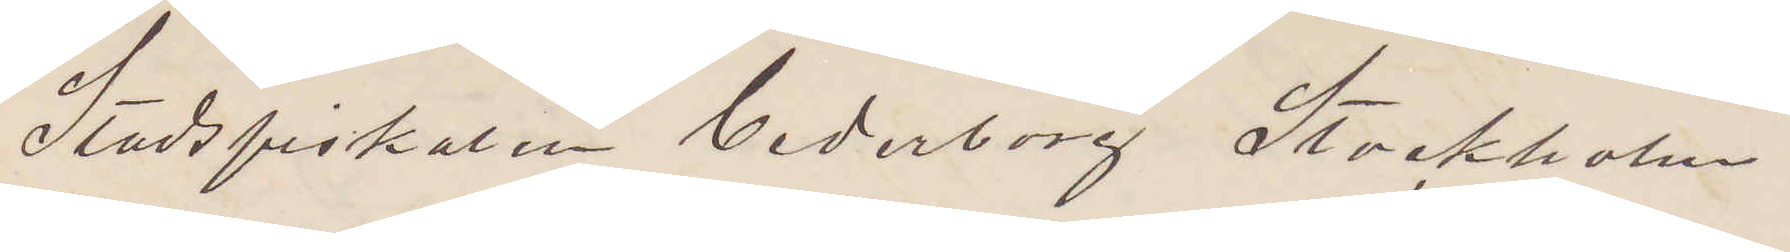Stadsfiskalen Cederborg Stockholm.
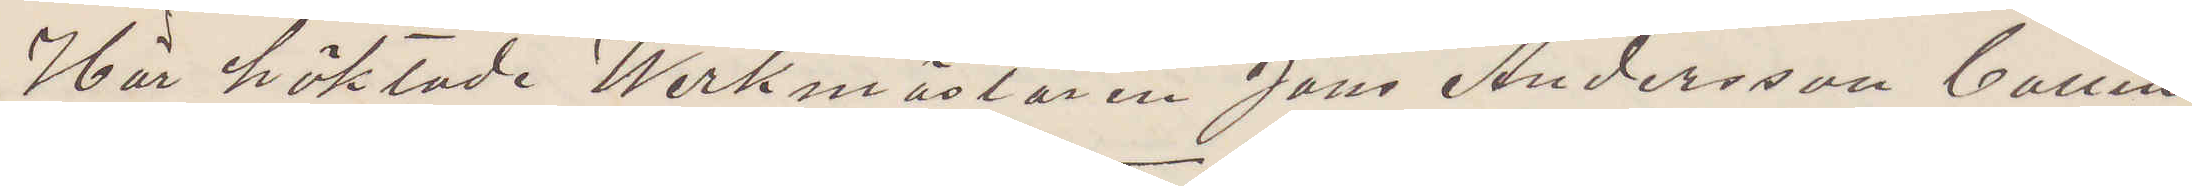Här häktade Werkmästaren Jöns Andersson Callin
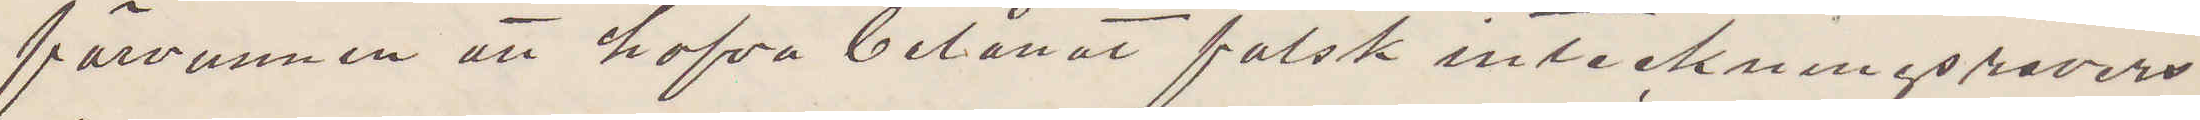förvunnen att hafva belånat falsk inteckningsrevers
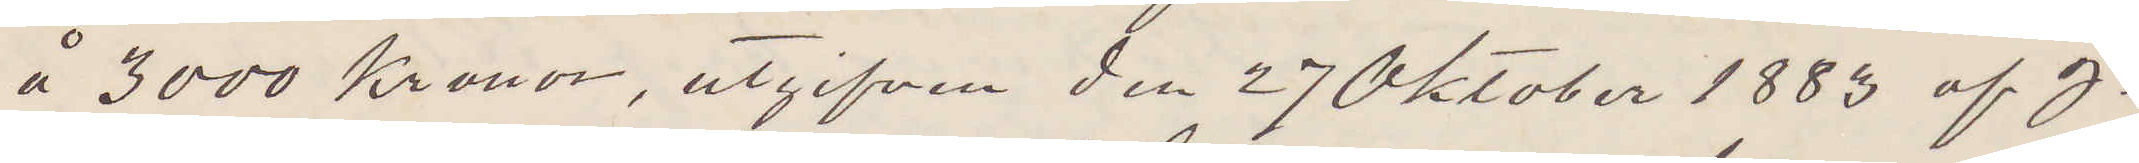å 3000 Kronor, utgifven den 27 Oktober 1883 af J.
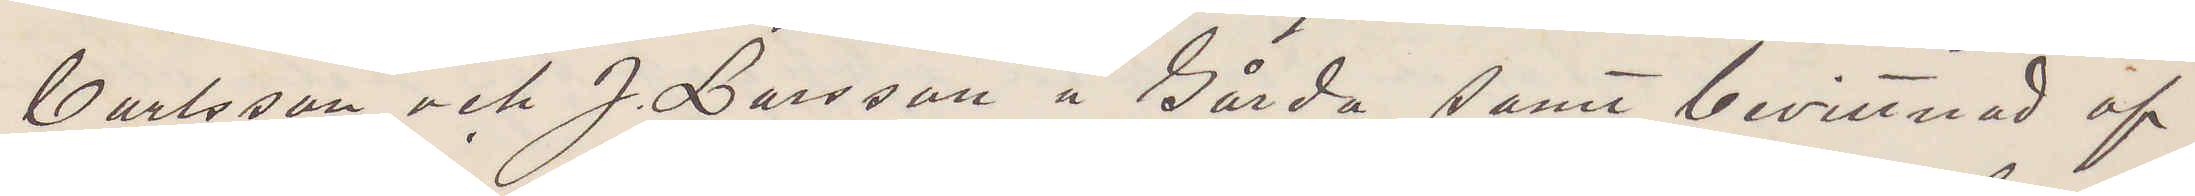Carlsson och J. Larsson å Gårda samt bevittnad af
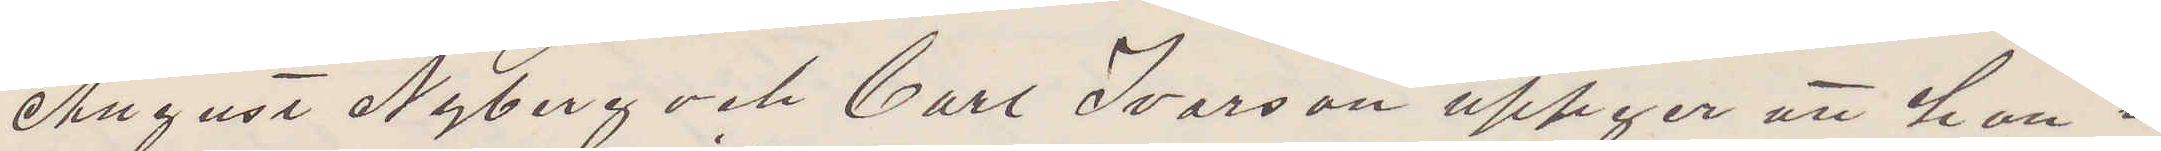August Nyberg och Carl Ivarson uppger att han i
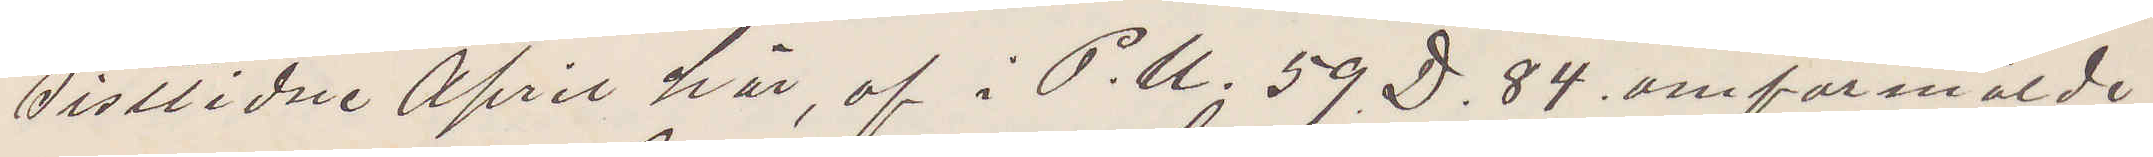sistlidne April här, af i P. U. 59 D. 84. omförmälde
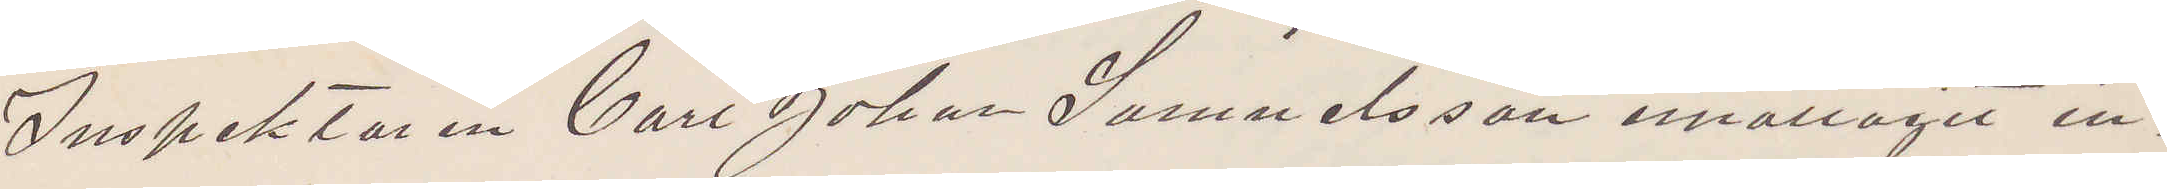Inspektoren Carl Johan Samuelsson emottagit in¬
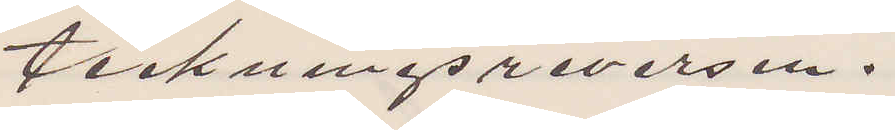teckningsreversen.
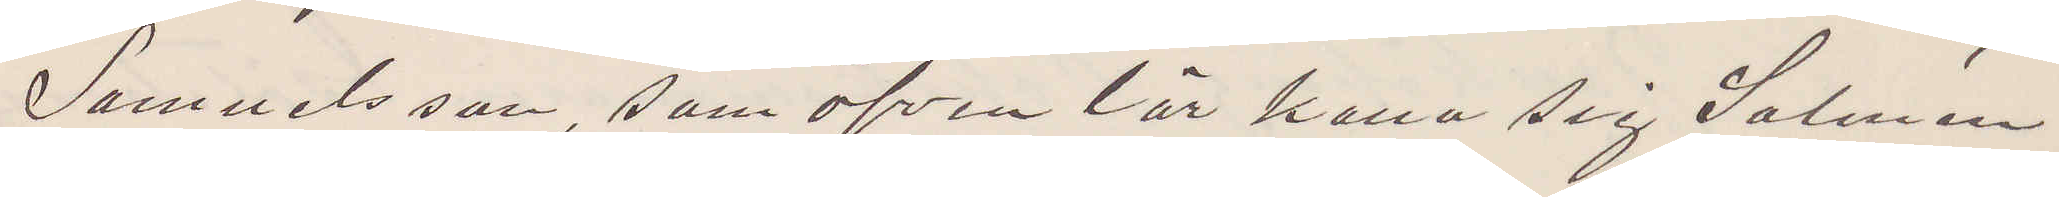Samuelsson, som äfven lär kalla sig Salmén
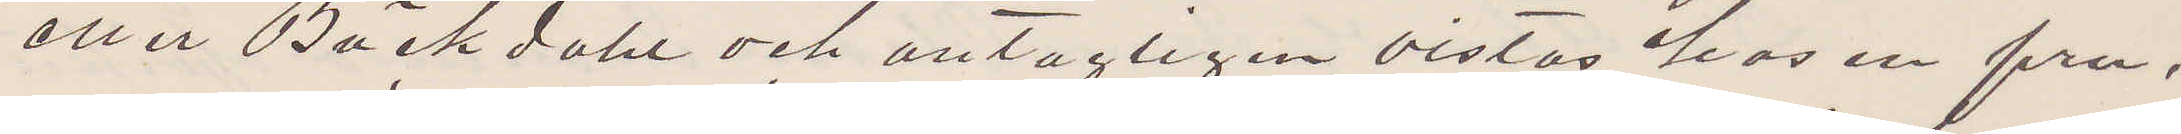eller Bäckdahl och antagligen vistas hos en fru,
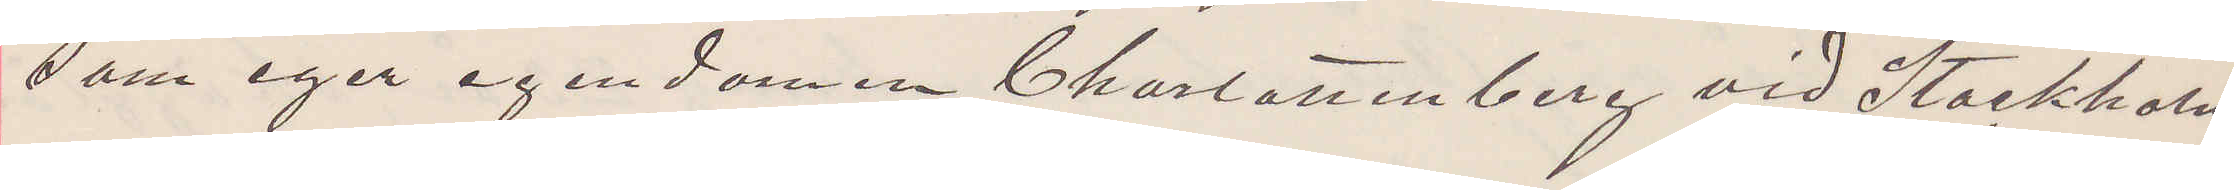som eger egendomen Charlottenberg vid Stockholm
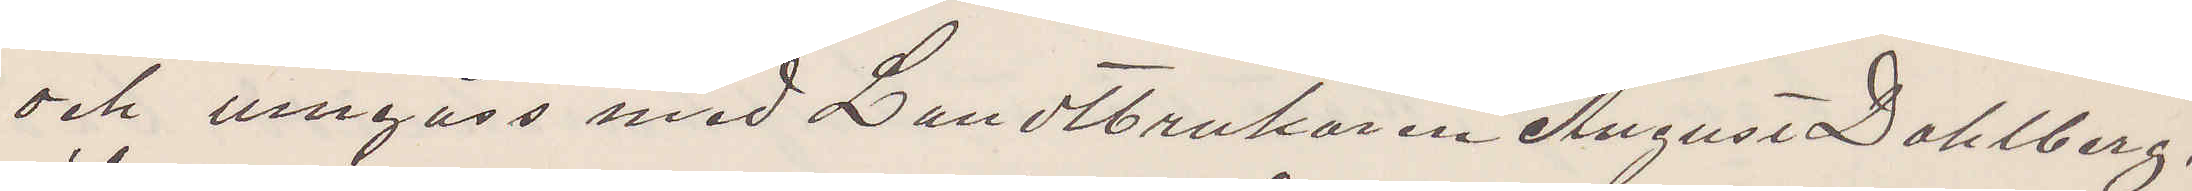och umgås med Landtbrukaren August Dahlberg,
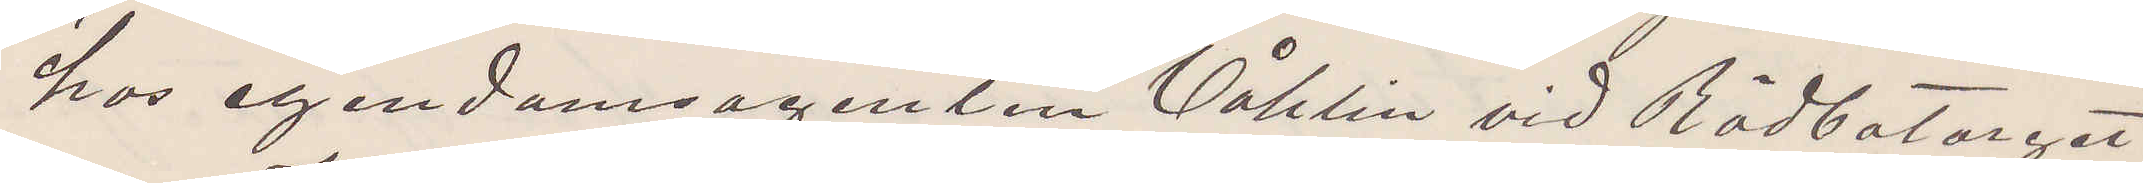hos egendomsagenten Våhlin vid Rådbotorget
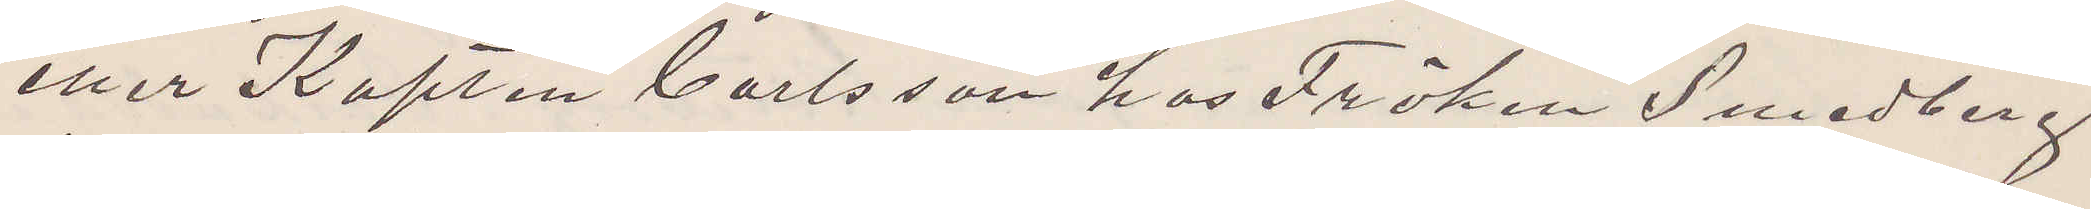eller Kapten Carlsson hos Fröken Smedberg
